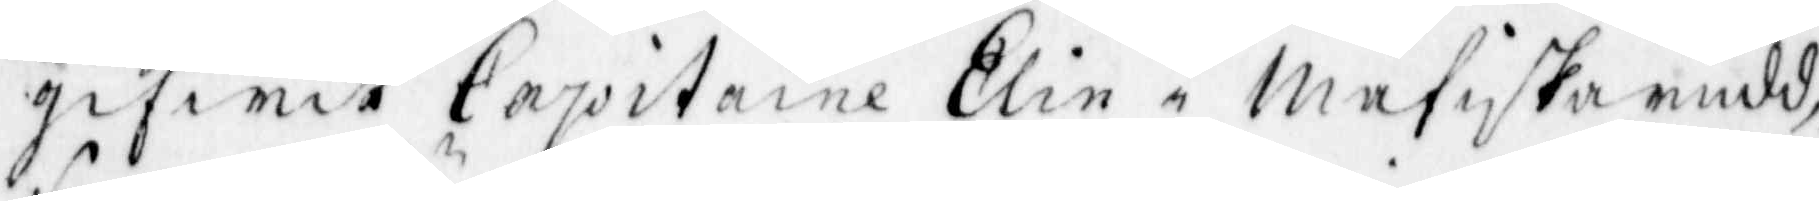gifwit Capitaine Elin i Måfiskarudd,
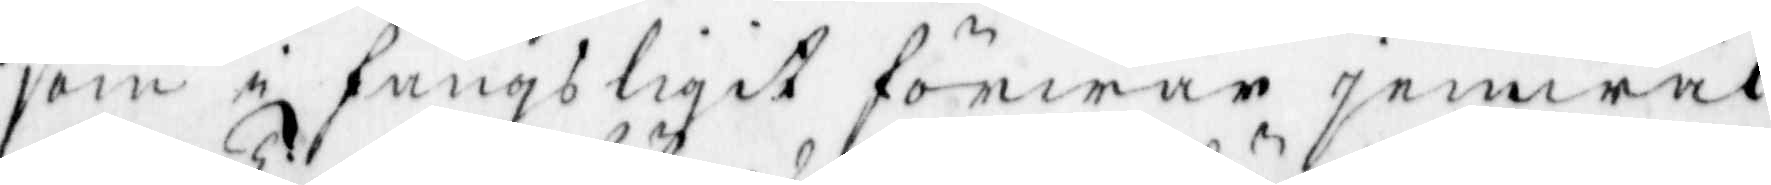som i fängsligit förwar jemwäl
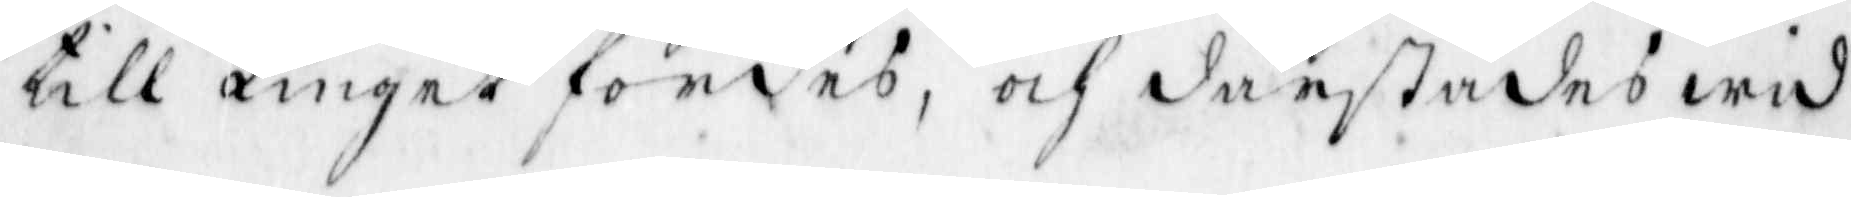till Tinget fördes, och därstädes wid
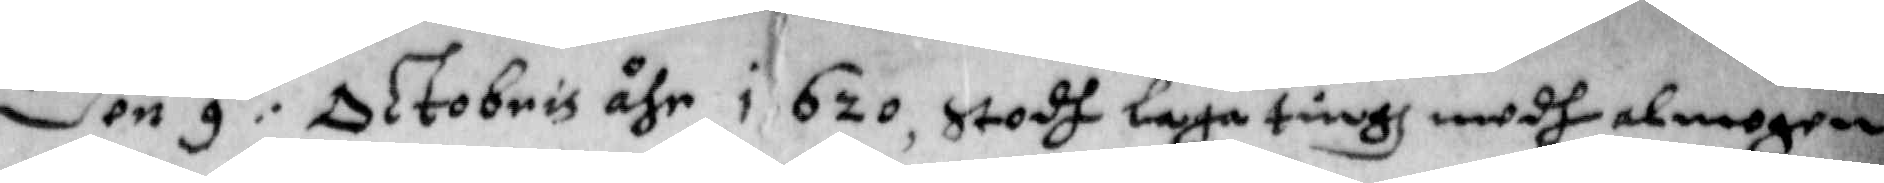Den 9:de Oktobris åhr 1620, stodh laga tingh medh almogen
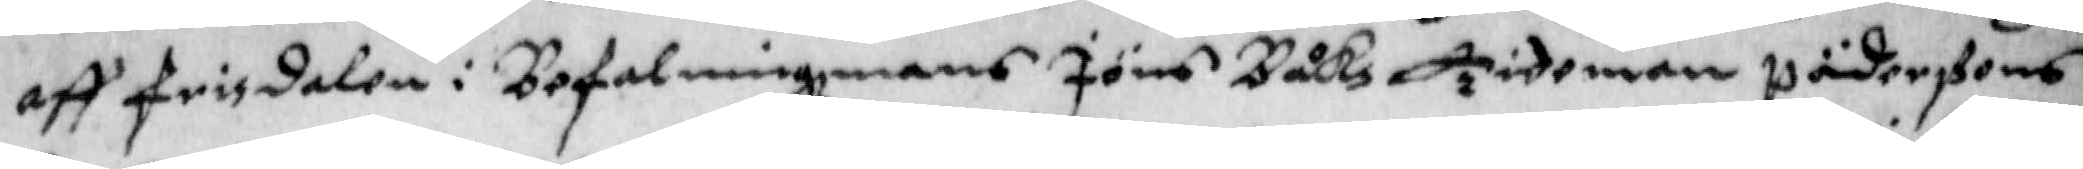aff frisdalen i Befalningzmans Jöns Båkz Tidoman Päderßons
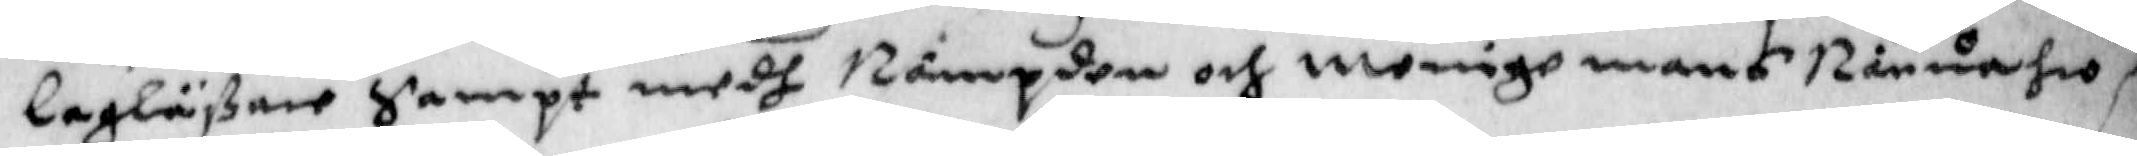lagläßare Sampt medh Nämpden och Menige mans Närwahro.
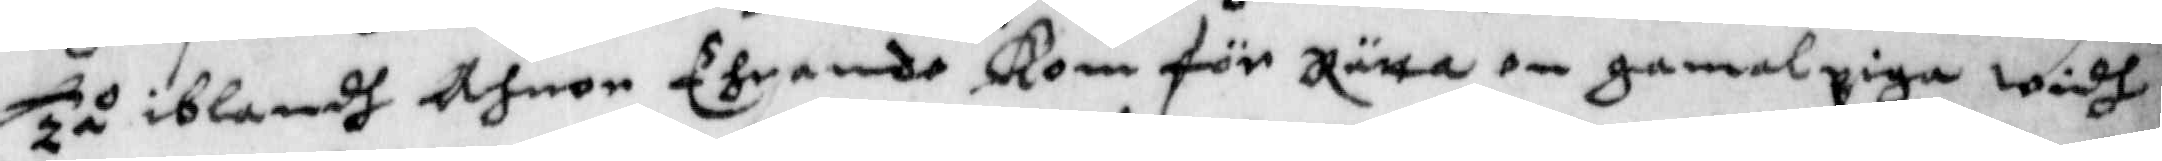Tå iblandh Ahnor Ehrende Kom för Rätten en gamal piga Widh
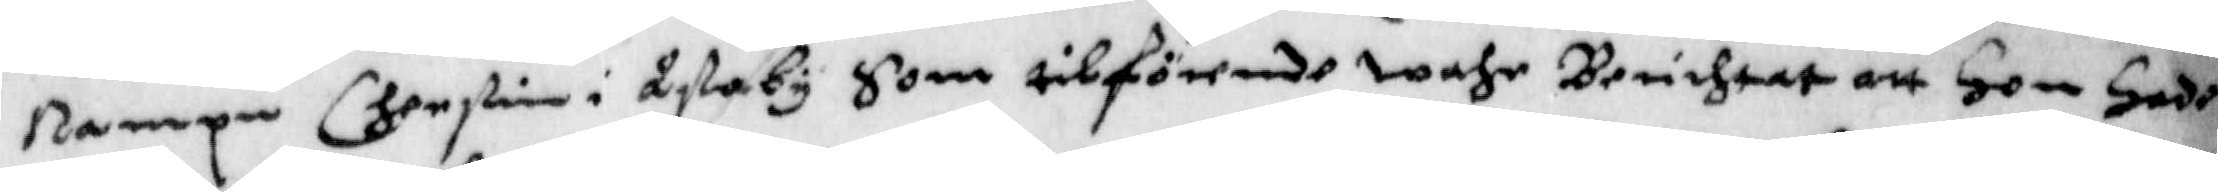Nampn Cherstin i Lyßaby Som tilförende wahr brinhtat att hon hade
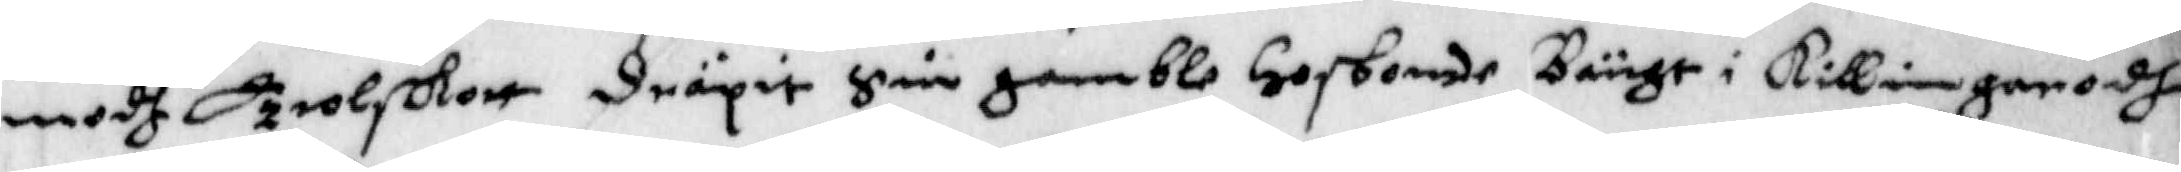medh Trolskott dräpit Sin gamble Hosbonde Bängt i Killingarodh,
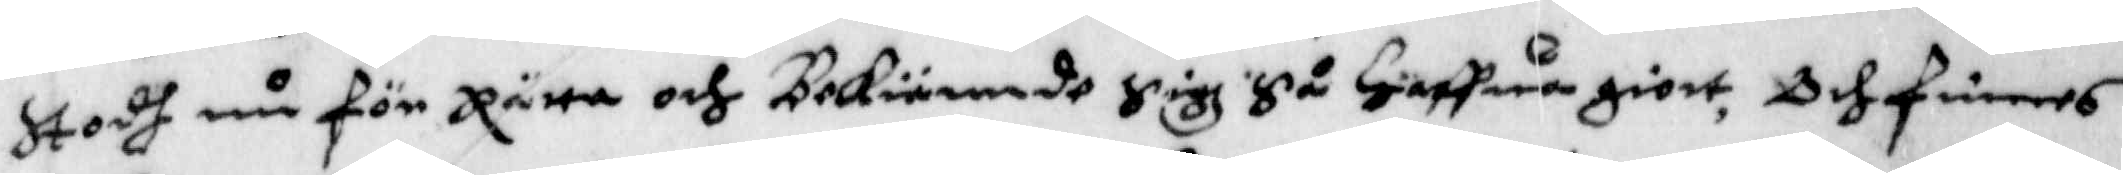Stodh nu för Rätta och Bekiände Sigh Så haffwa giort, Och Finnes
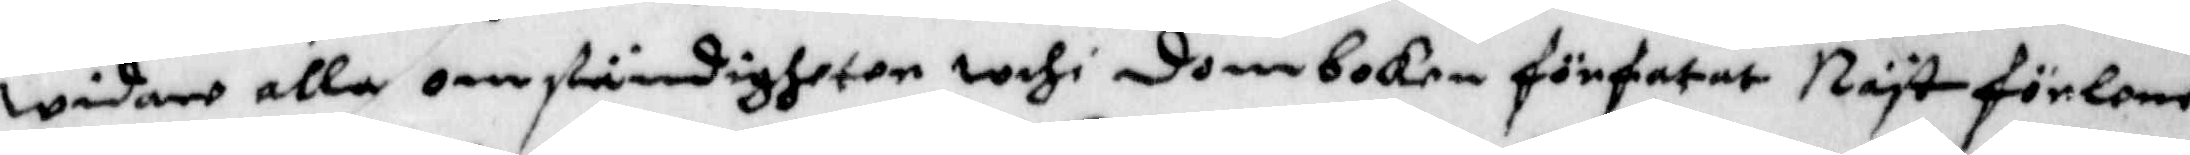widare alla omständigheter widh domboken förfatat Näst förlone
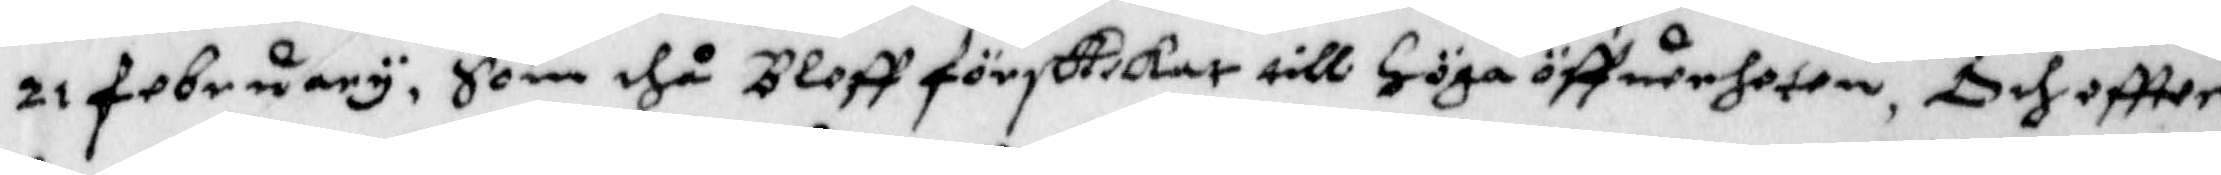21 february, Som dhå Bleff förskikat till Höga öffwerheten, Och eftter
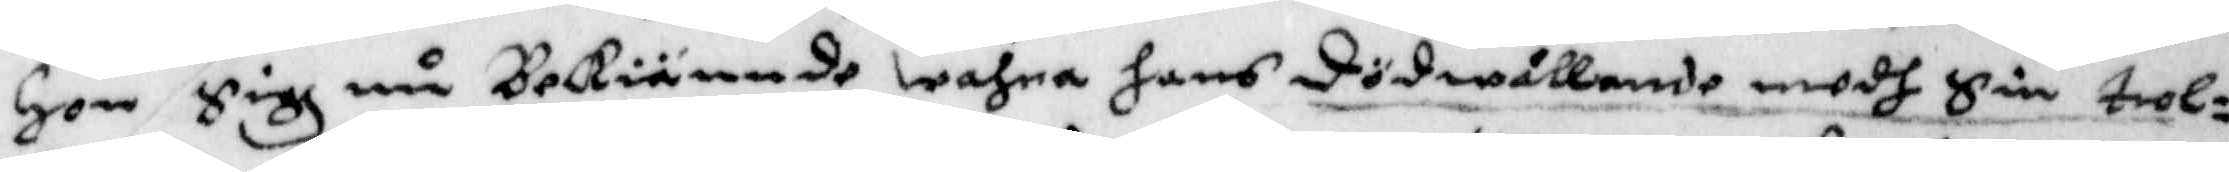Hon Sigh nu Bekiännde wahra hans dödwållande medh Sin trol¬
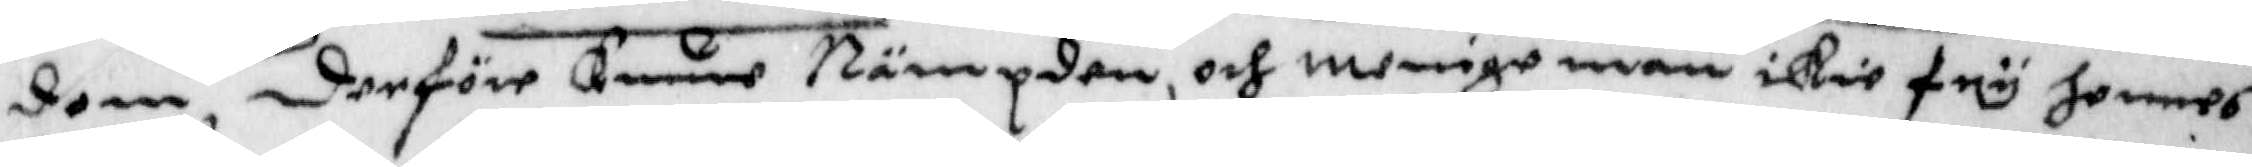dom, derföre Kunne Nämpden, och menige man icke fry hennes
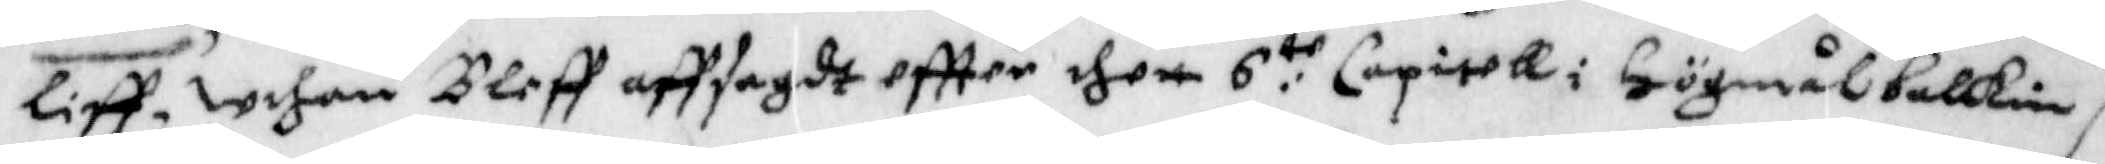liff, Uthan Bleff affsagdt eftter dhen 6:te Capitell i Högmålbalkin
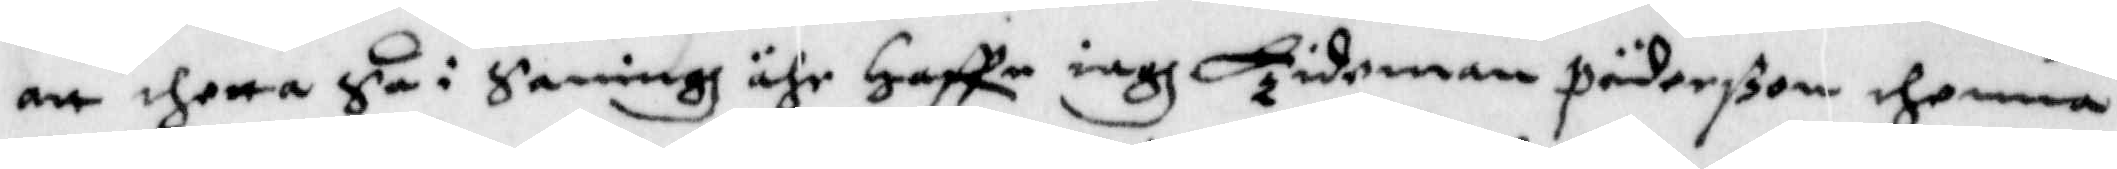att dhetta Så i Sanning ähr Haffe iagh Tideman Päderßon dhenna
